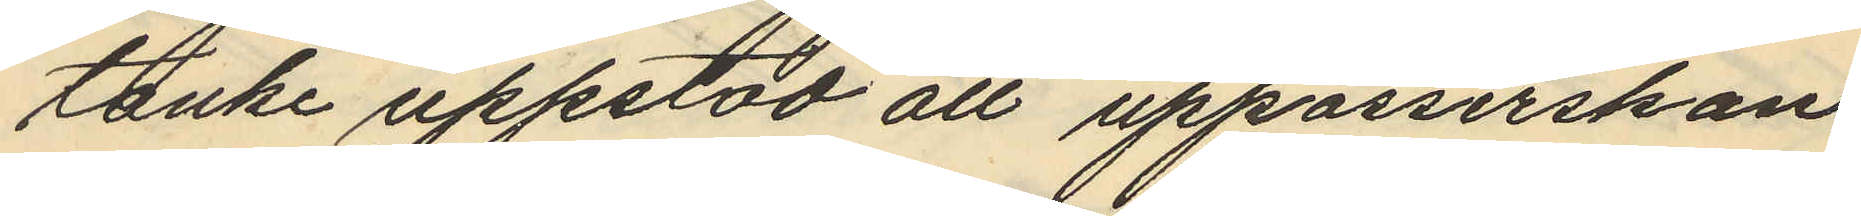tanke uppstad att uppasserskan
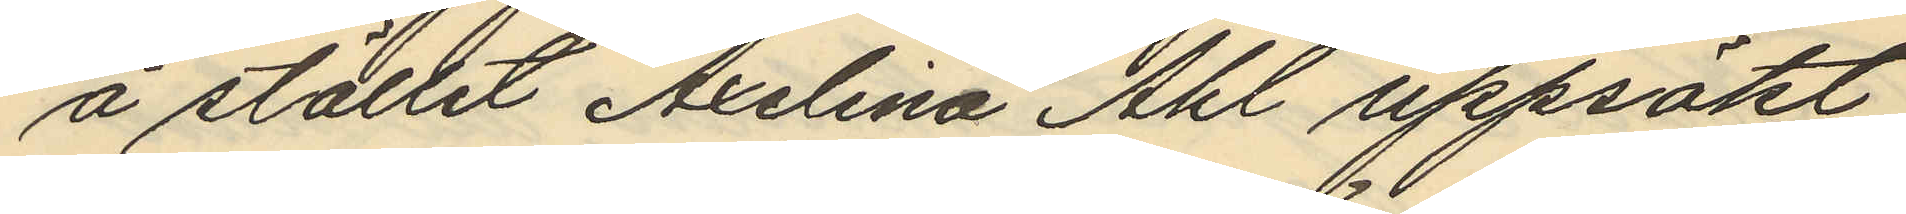å stället Axelina Ahl uppsökt
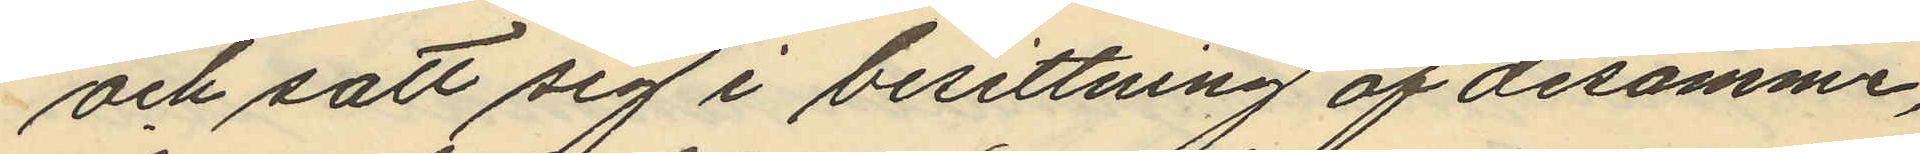och satt sig i besittning af desamme,
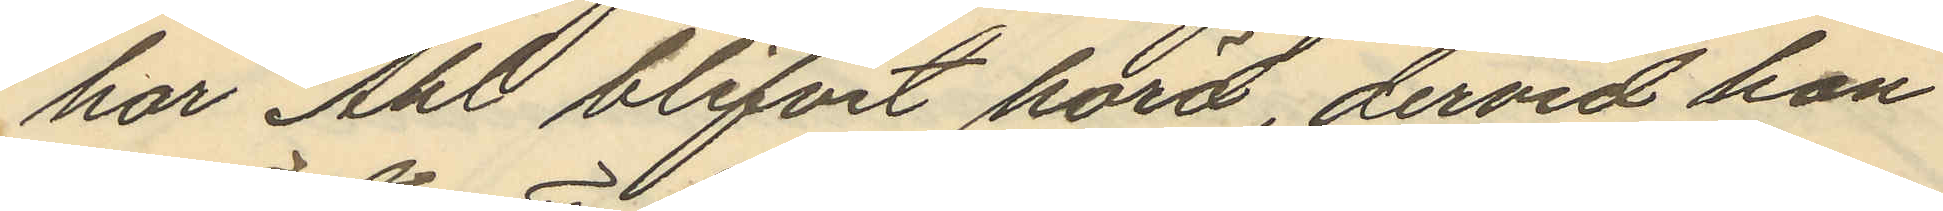har Ahl blifvit hörd, dervid hon
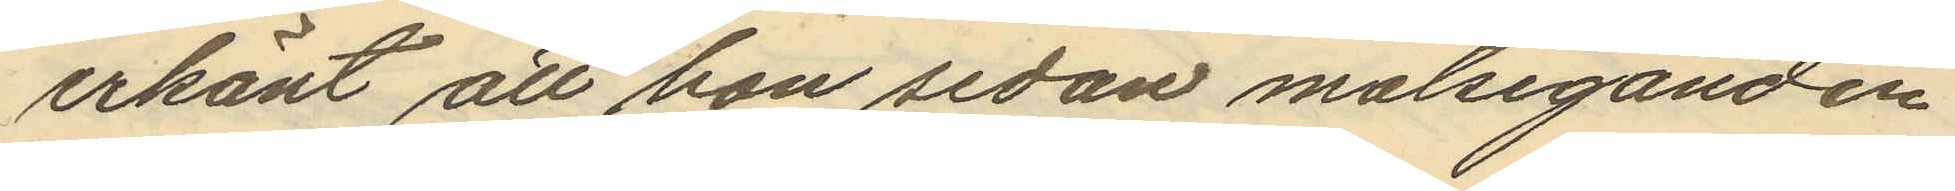erkänt att hon sedan målseganden
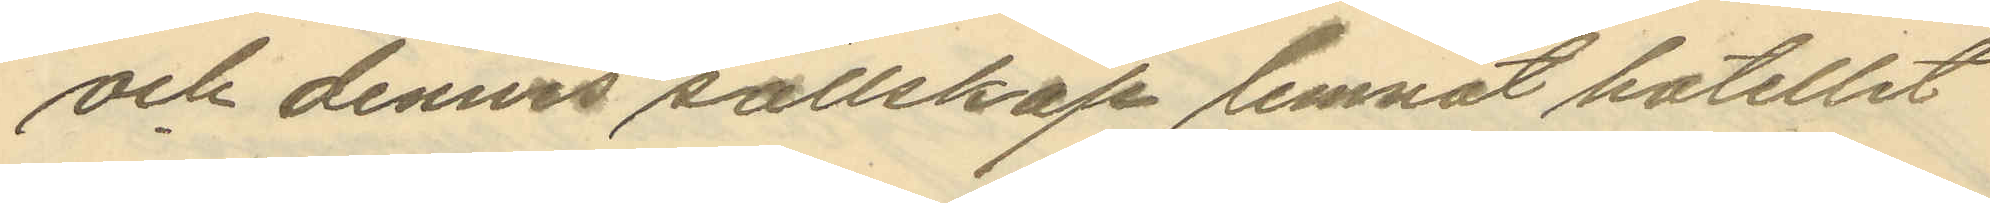och dennes sällskap lemnat hotellet
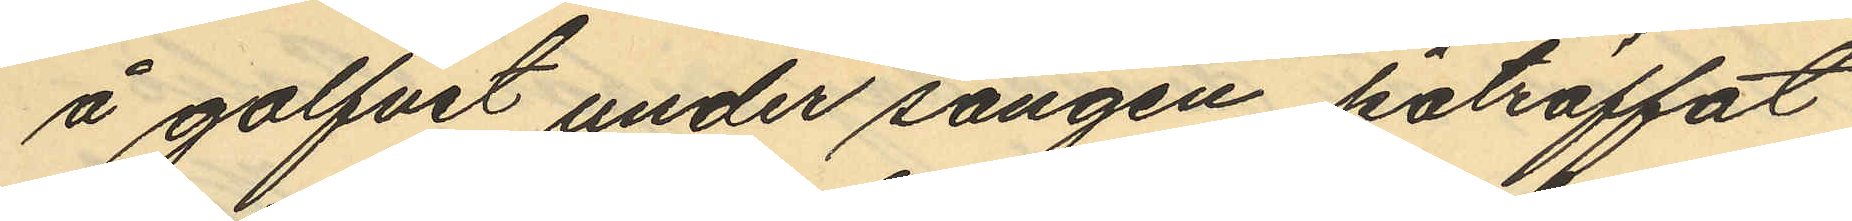å golfvet under sängen, påträffat
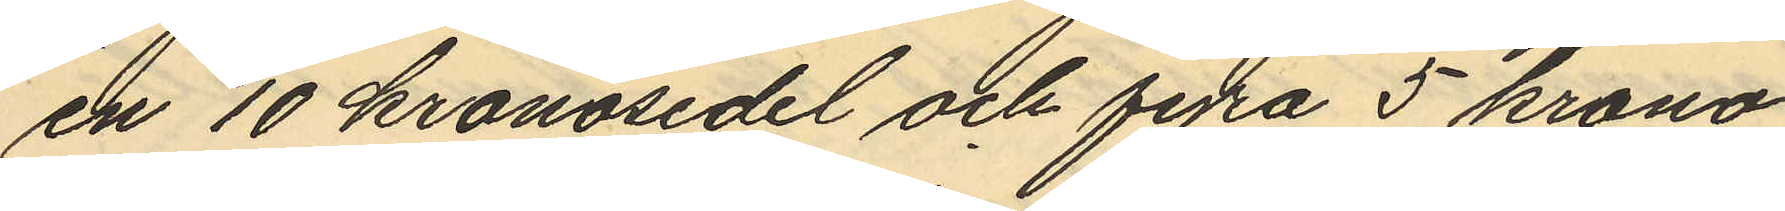en 10 kronosedel och fyra 5 krono¬
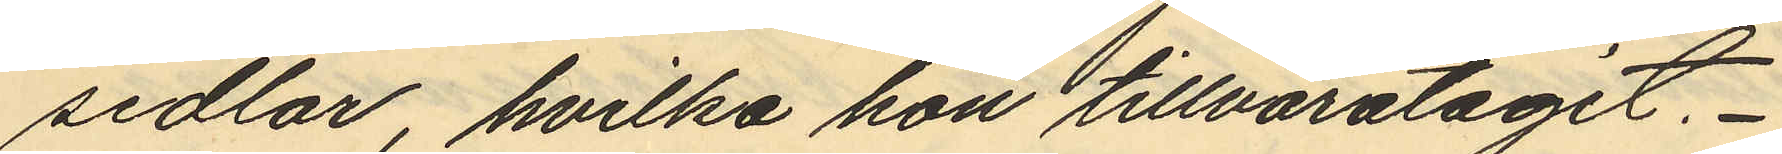sedlar, hvilka hon tillvaratagit.
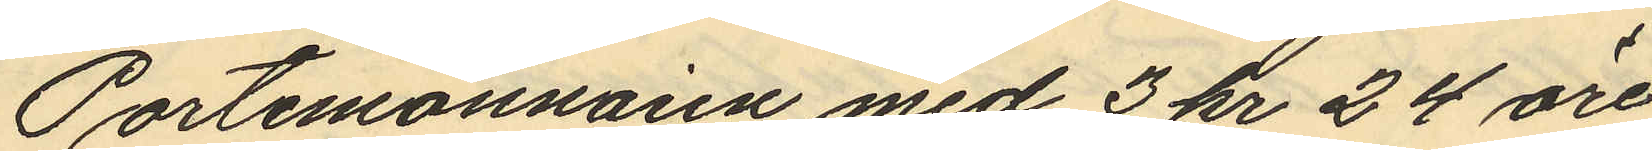Portmonnaien med 3 kr 24 öre
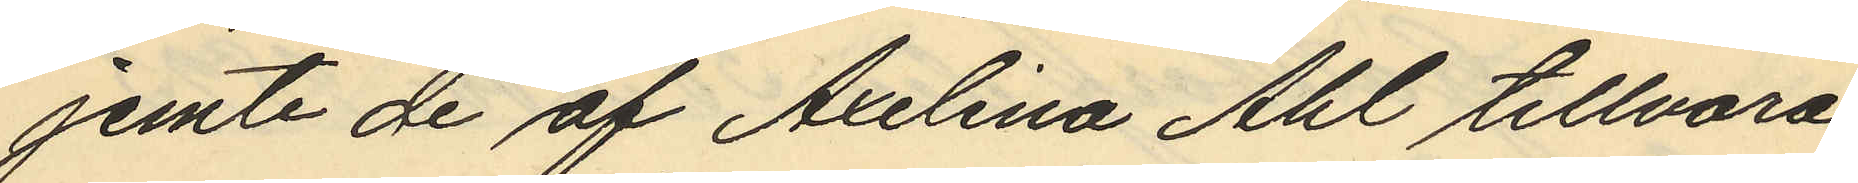jemte de af Axelina Ahl tillvara¬
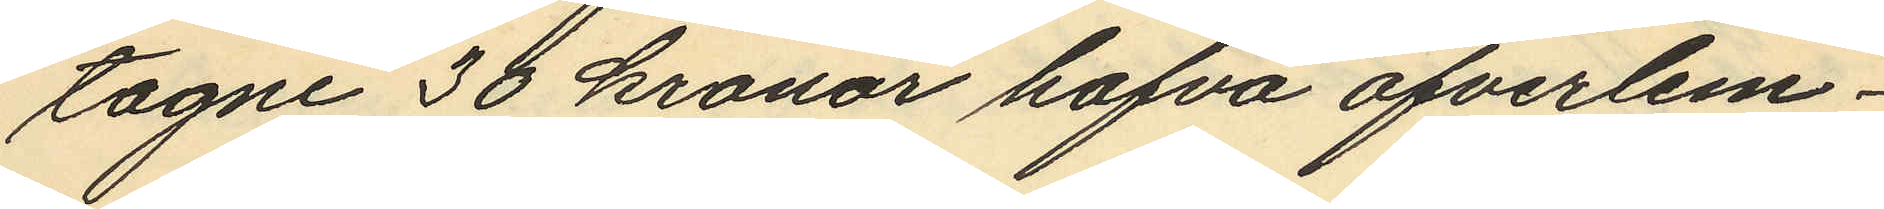tagne 30 kronor hafva ofverlem¬
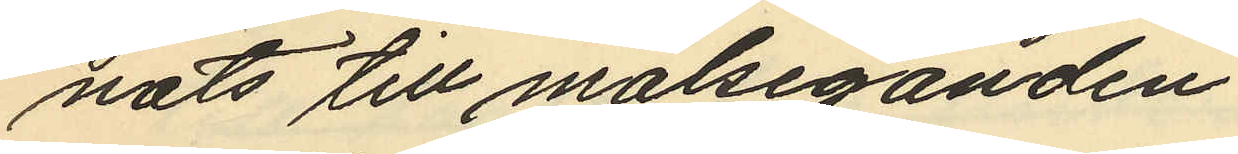nats till målseganden.
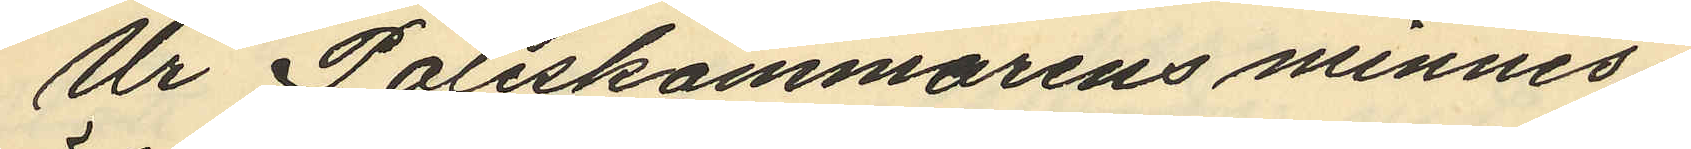Ur Poliskammarens minnes¬
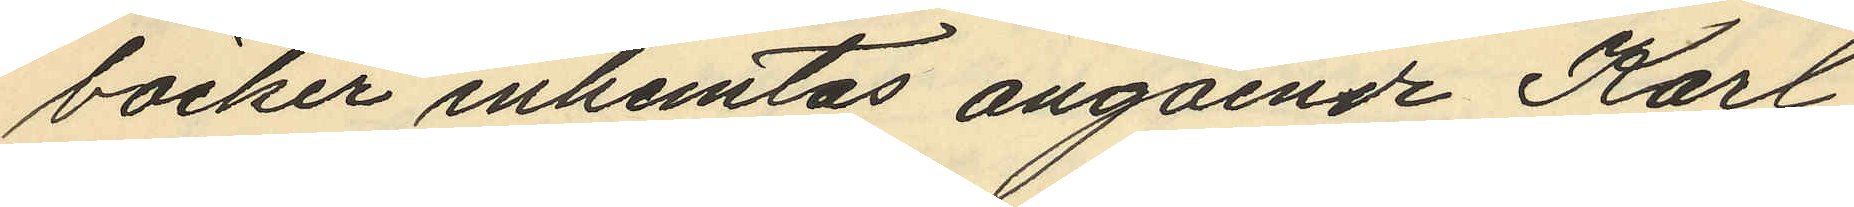böcker inhemtas angående Karl
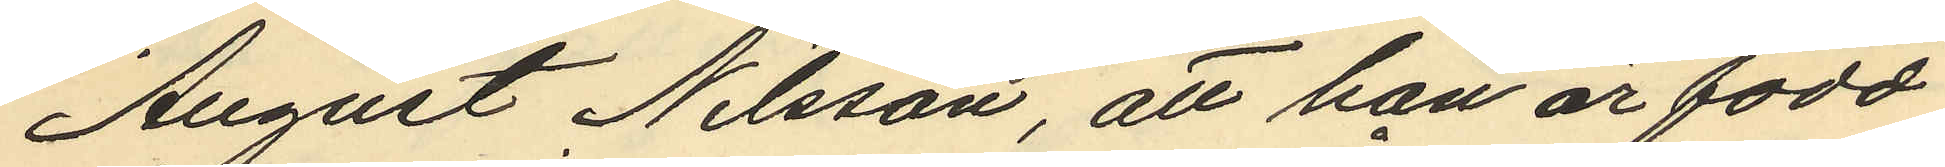August Nilsson att han är född
